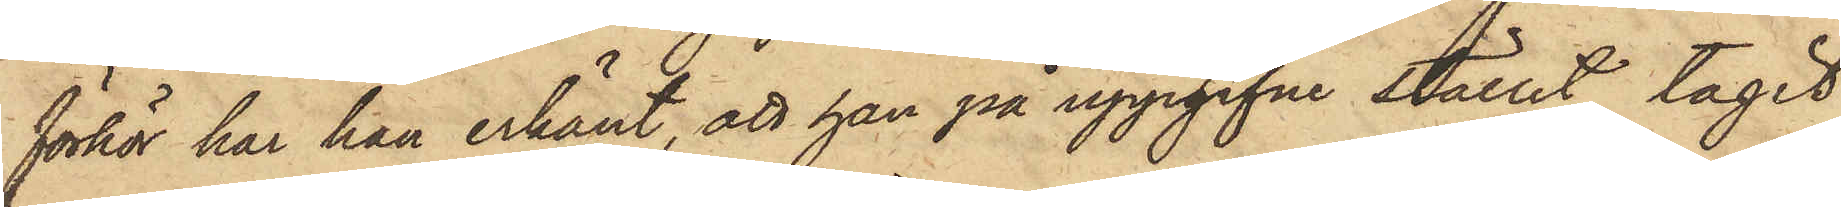förhör har han erkänt, att han på uppgifne stället tagit
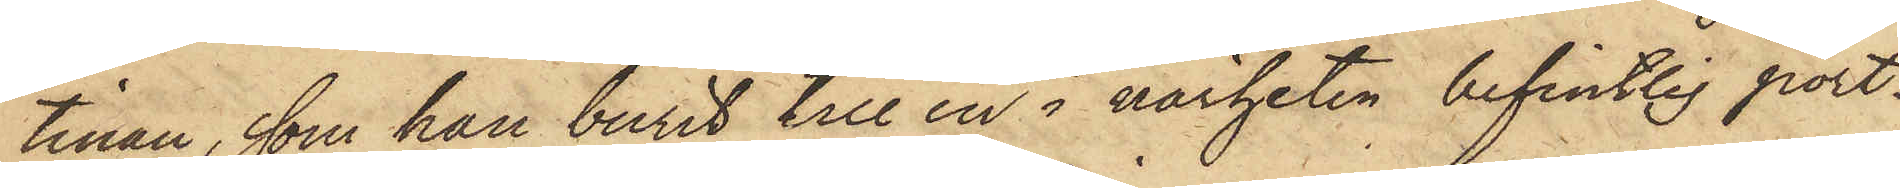tinan, som han burit till en i närheten befintlig port¬
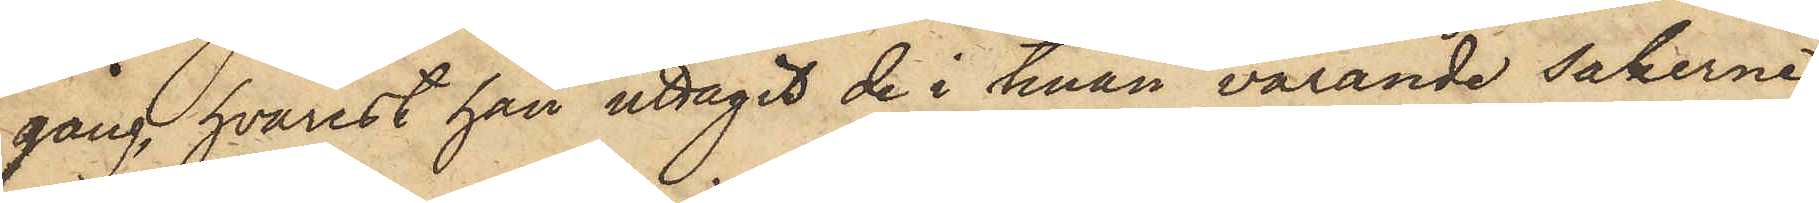gång, hvarest han uttagit de i tinan varande sakerne,
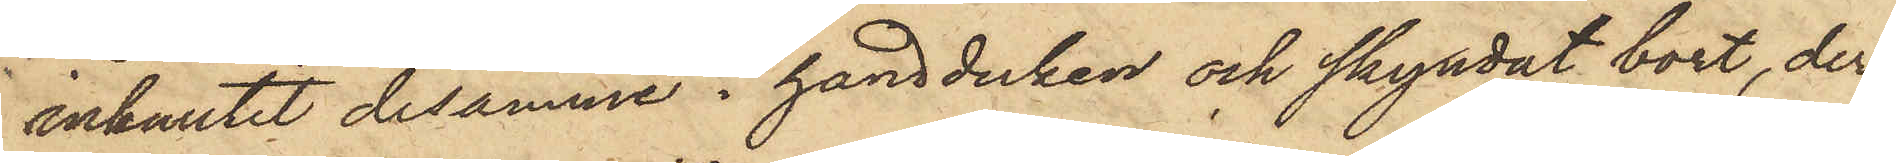inknutit desamme i handduken och skyndat bort, der¬
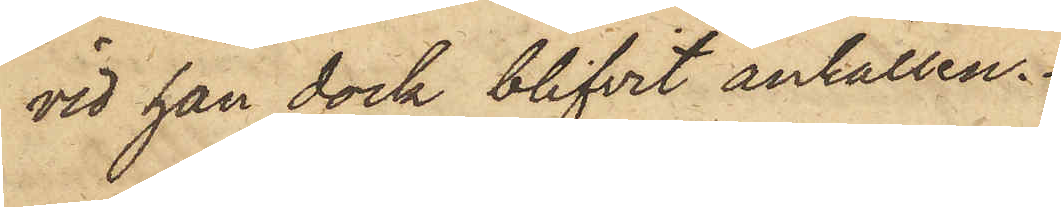vid han dock blifvit anhållen.
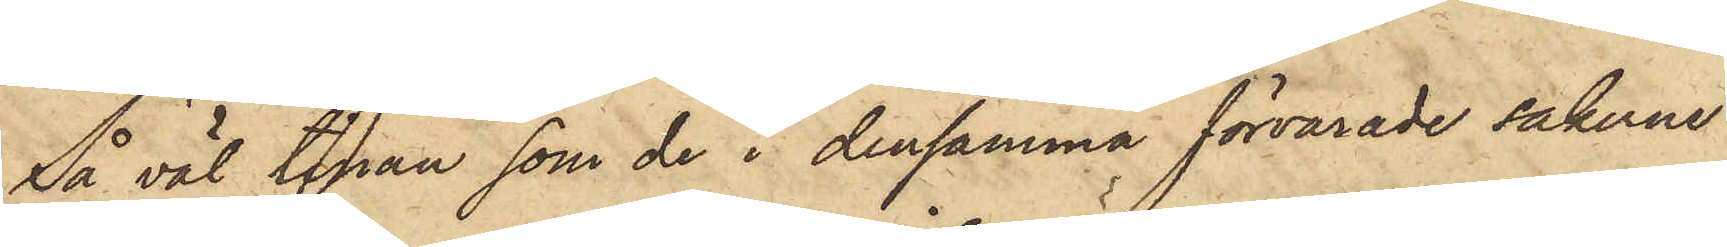Så väl tinan som de i densamma förvarade sakerne
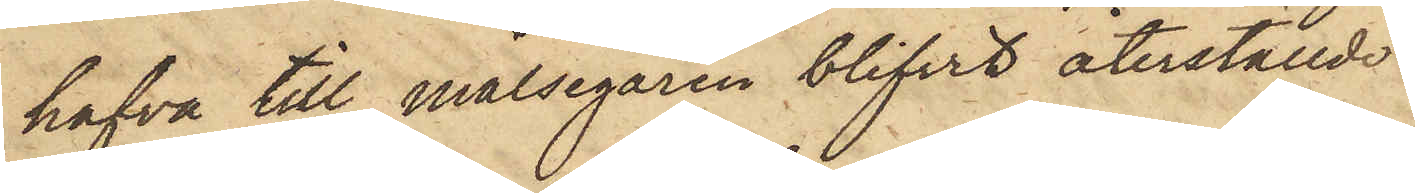hafva till målsegaren blifvit återställde.
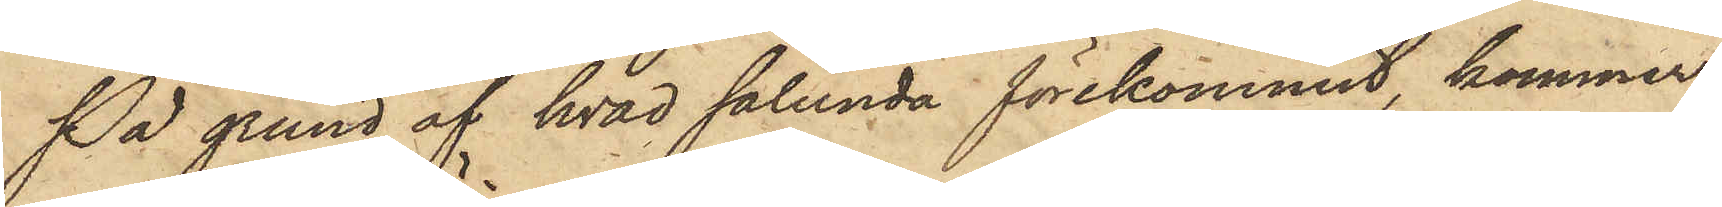På grund af hvad sålunda förekommit, kommer
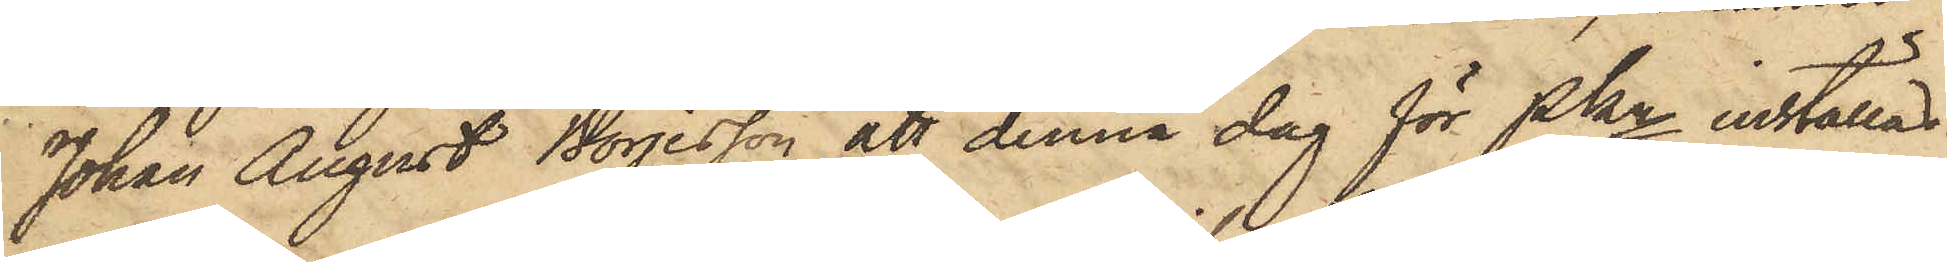Johan August Börjesson att denna dag för Pkn inställas.
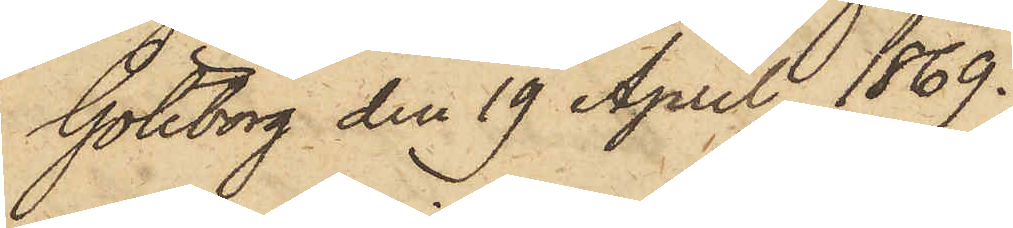Göteborg den 19 April 1869.
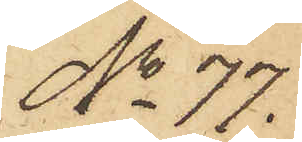No 77.
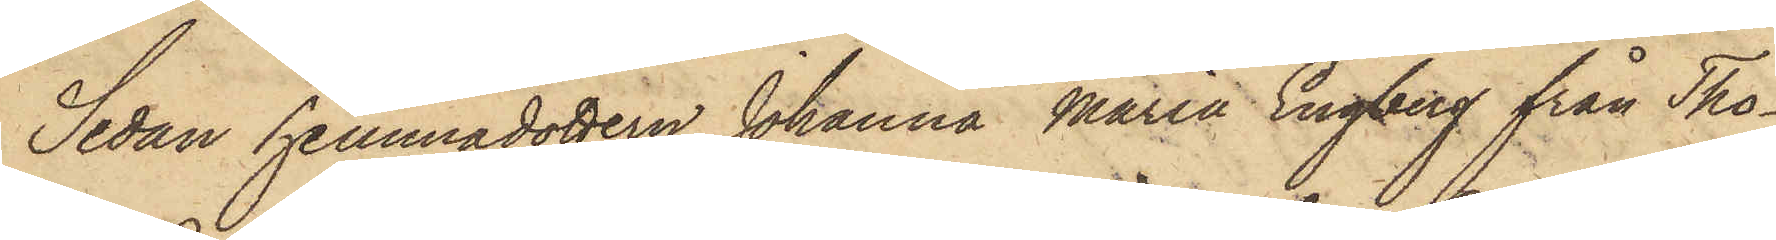Sedan hemmadottern Johanna Maria Engberg från Tho¬
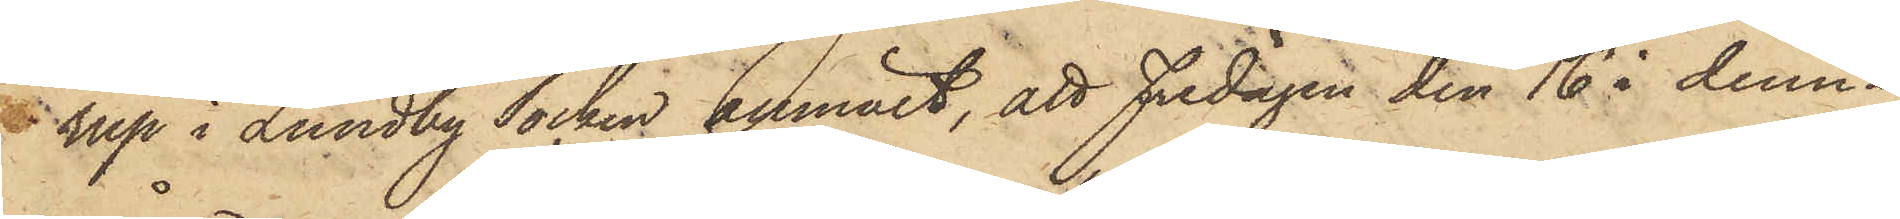rup i Lundby Socken anmält, att Fredagen den 16 i denna
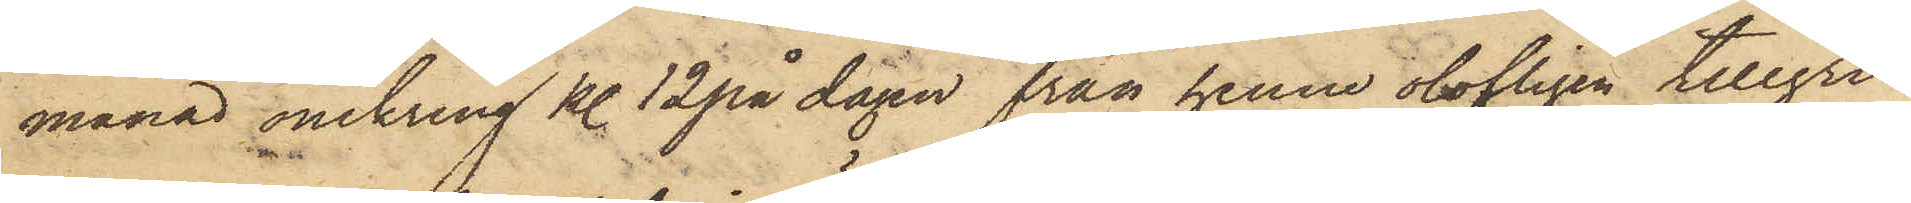månad omkring kl. 12 på dagen från henne olofligen tillgri¬
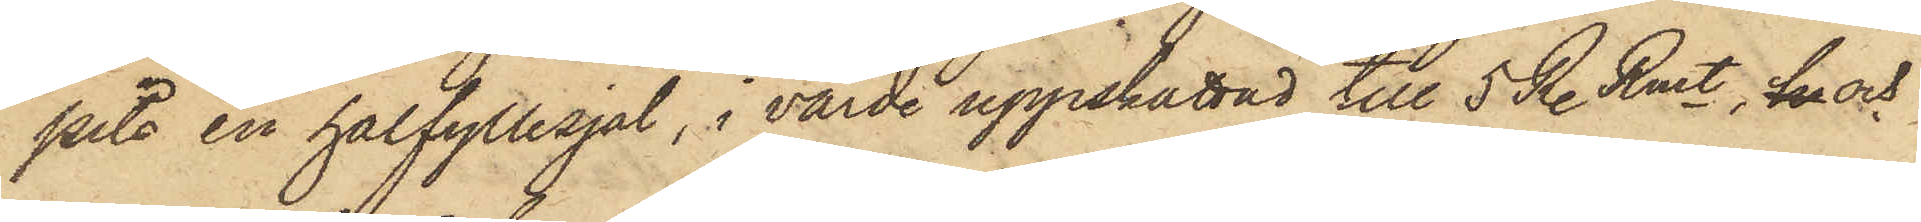pits en halfyllesjal, i värde uppskattad till 5 R. Rmt, h och
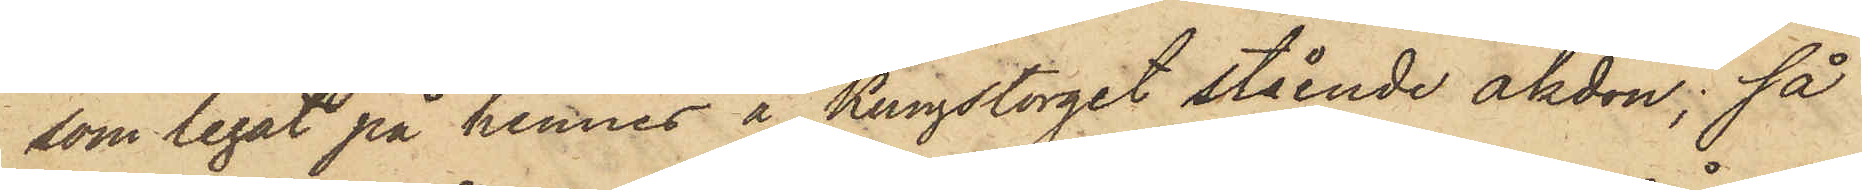som legat på hennes å Kungstorget stående åkdon; så
